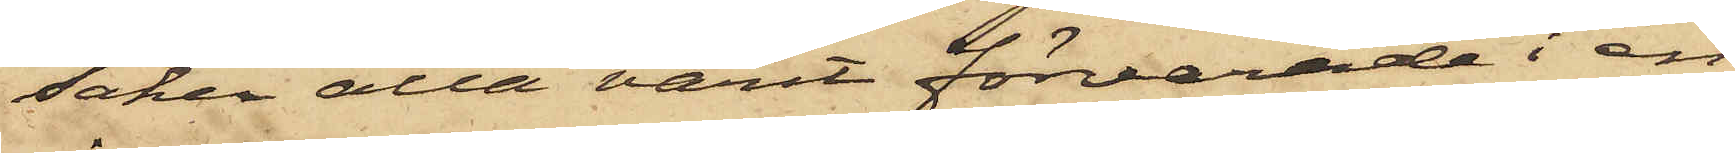saker alla varit förvarade i en
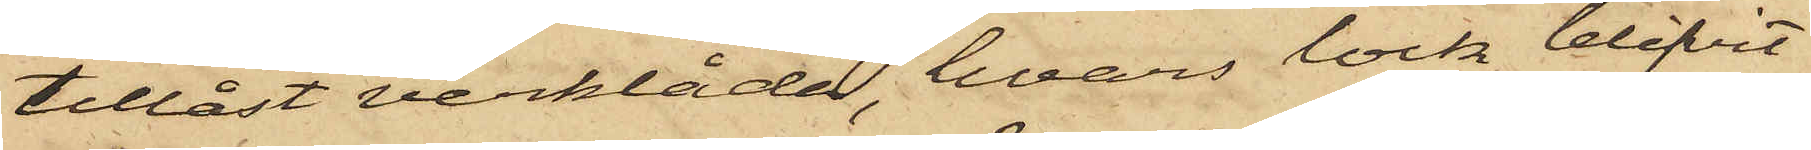tillåst verklåda, hvars lock blifvit
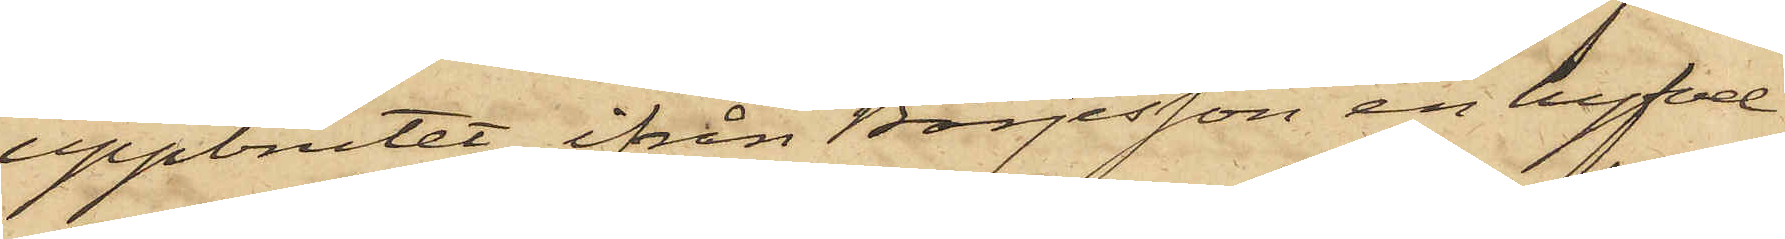uppbrutet, ifrån Börjesson en hyfvel
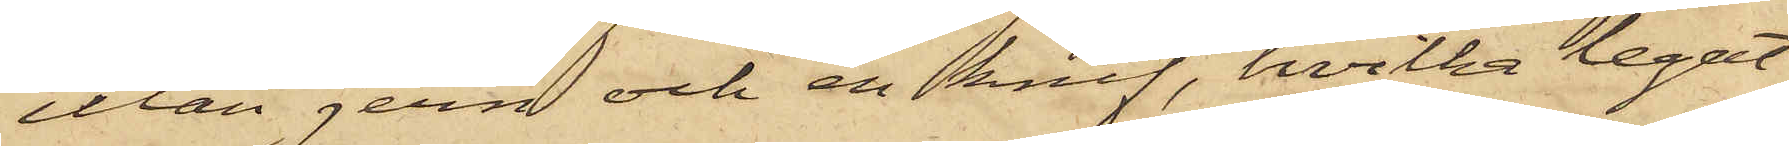utan jern och en knif, hvilka legat
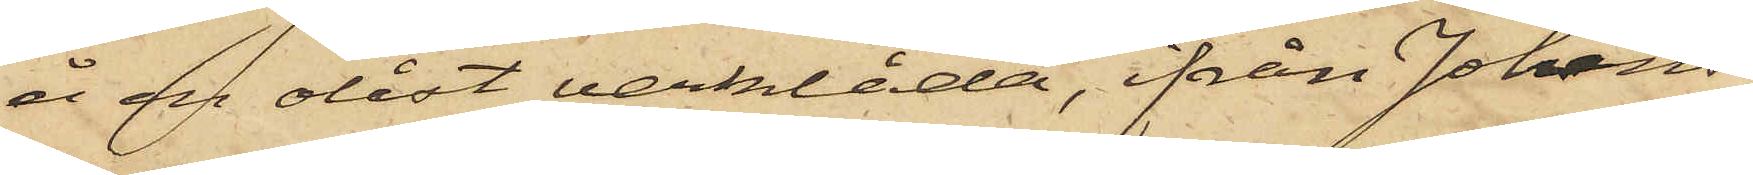å en olåst verklåda, ifrån Johans¬
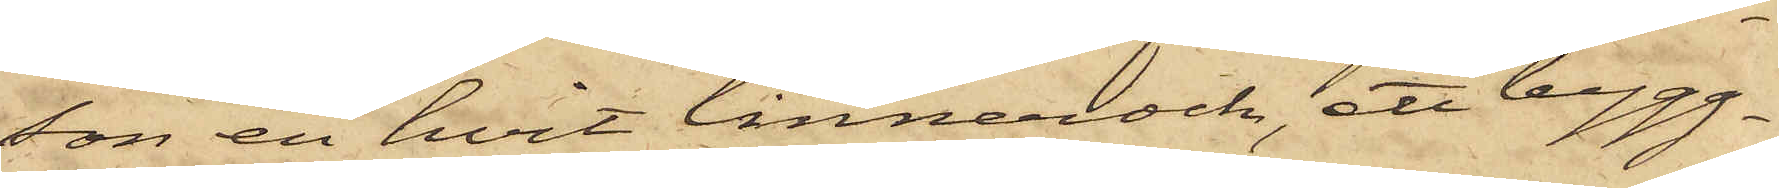son en hvit linnerock, ett bygg¬
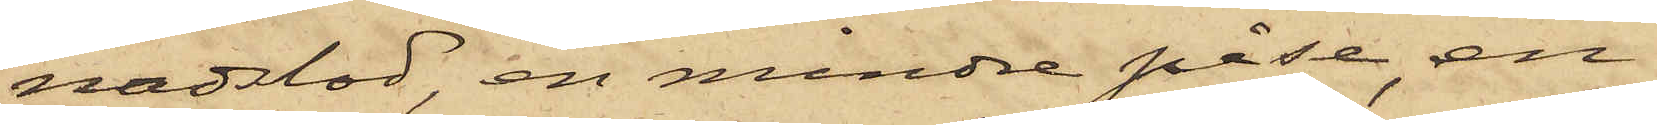nadslod, en mindre påse, en
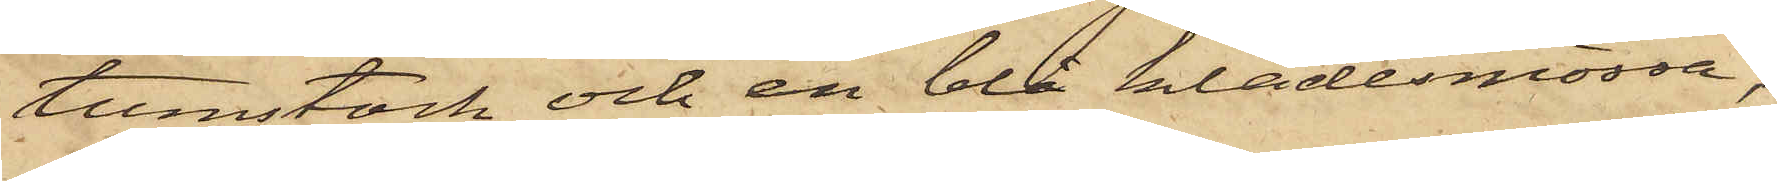tumstock och en blå klädesmössa,
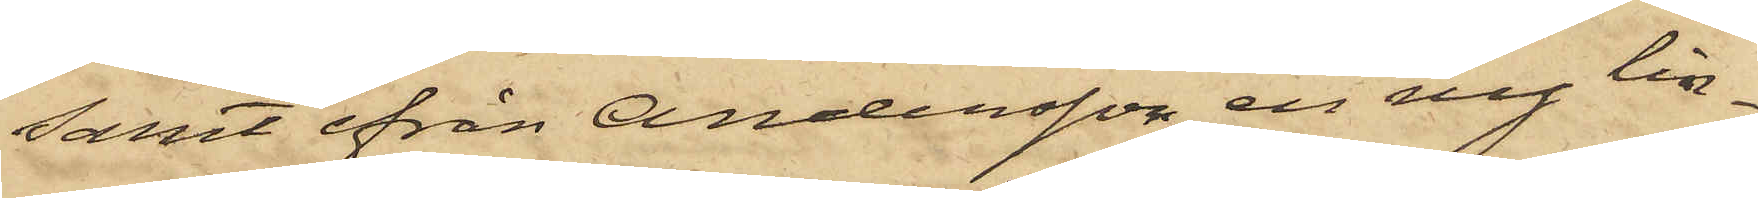samt ifrån Andersson en ny lin¬
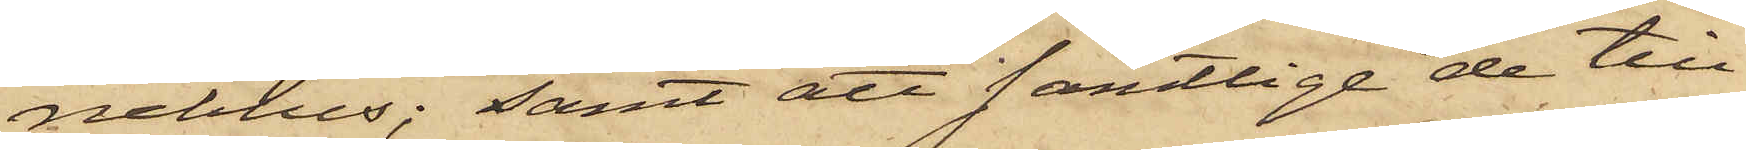neblus; samt att samtlige de till¬
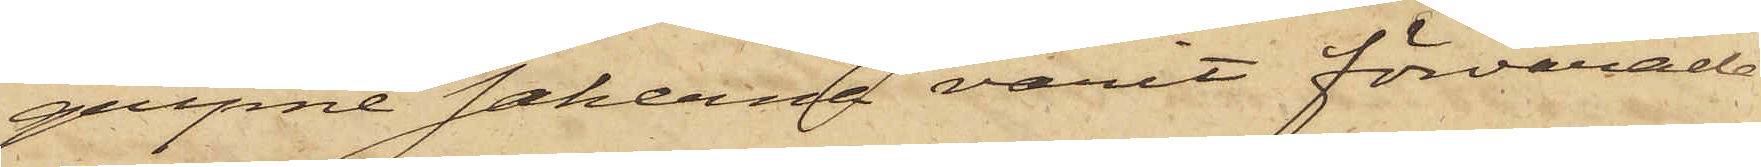gripne sakerna varit förvarade
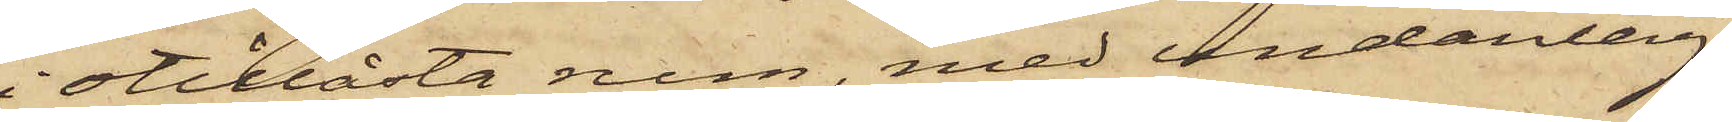i otillåsta rum, med undantag
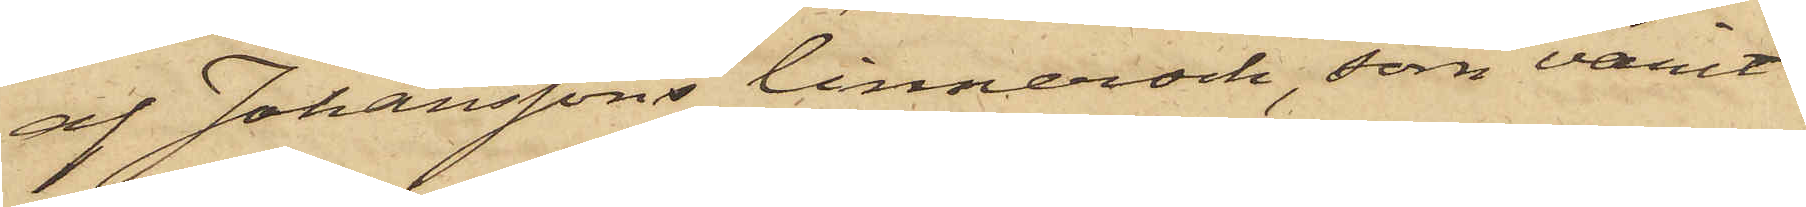af Johanssons linnerock, som varit
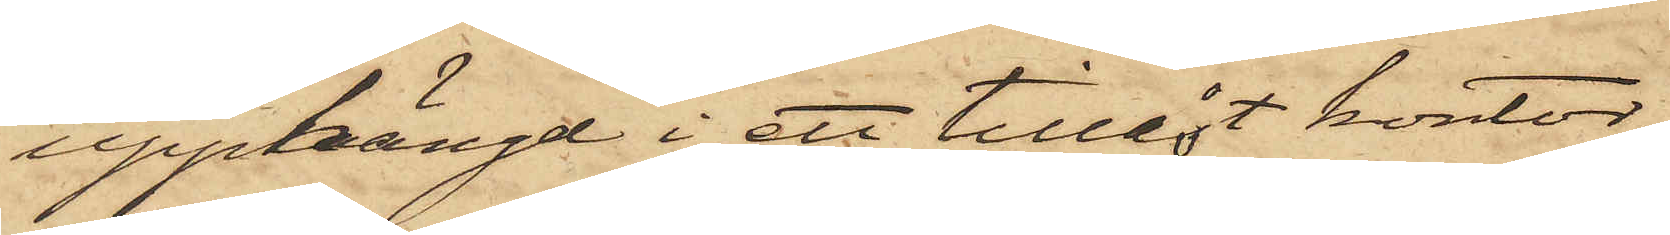upphängd i ett tillåst kontor,
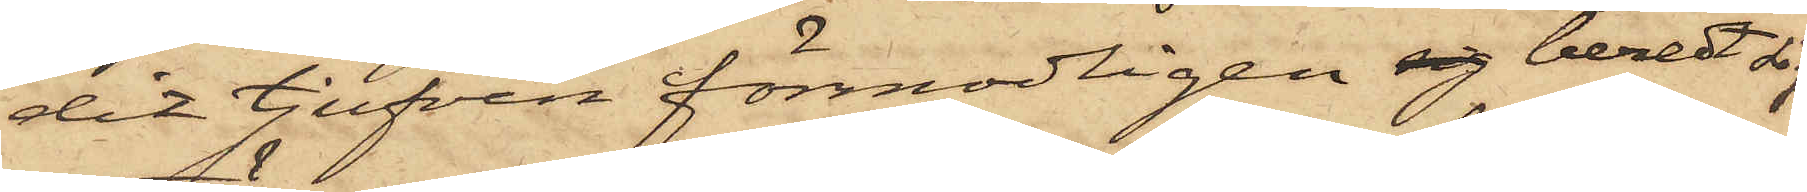dit tjufven förmodligen sig beredt sig
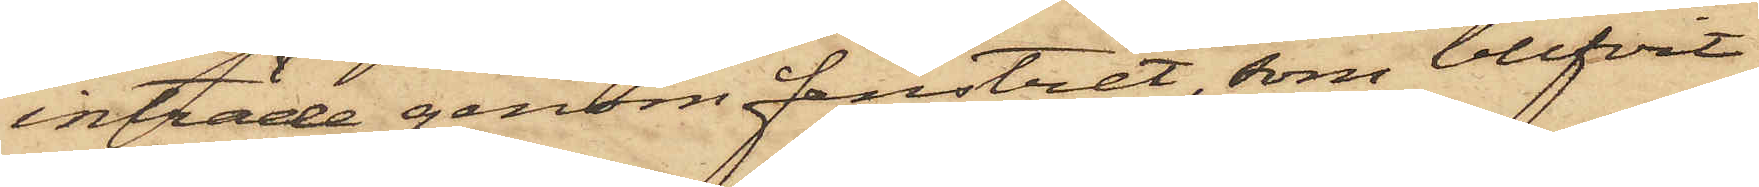inträde genom fenstret, som blifvit
